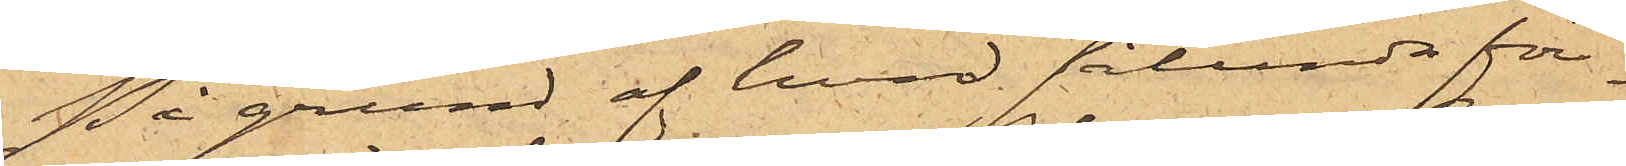På grund af hvad sålunda för¬
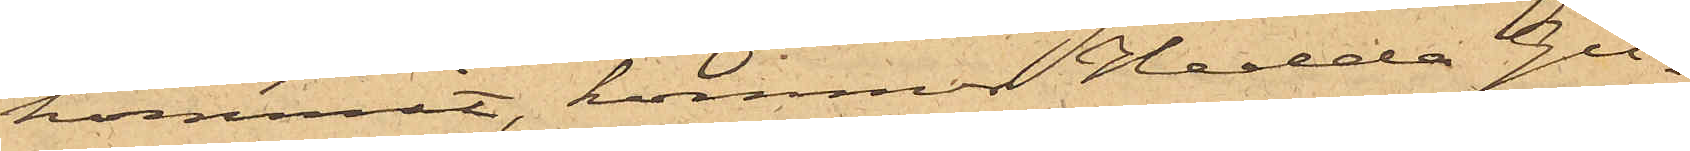kommit, kommer Hedda Gu¬
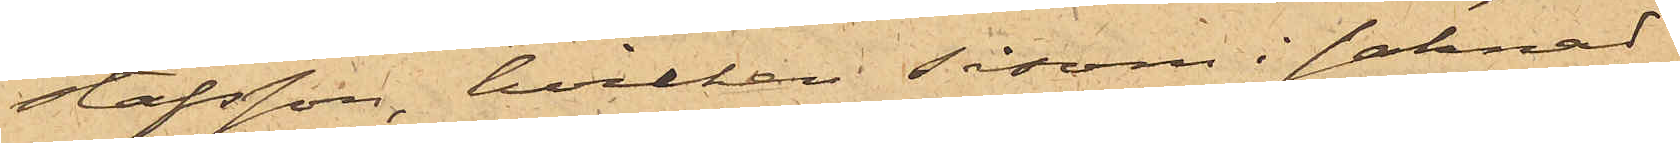stafsson, hvilken såsom i saknad
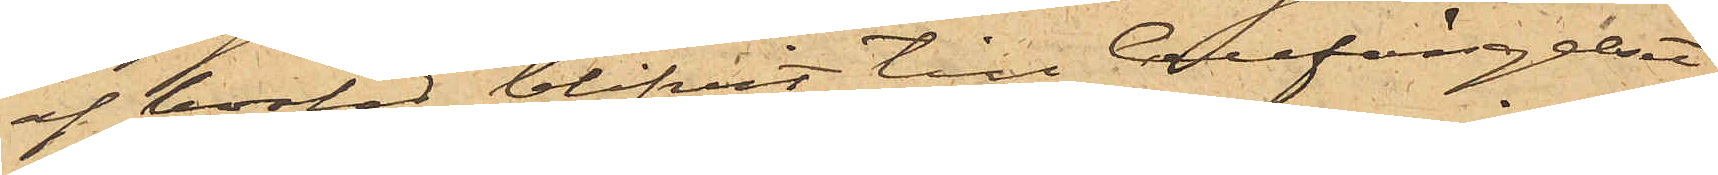af bostad blifvit till Cellfängelset
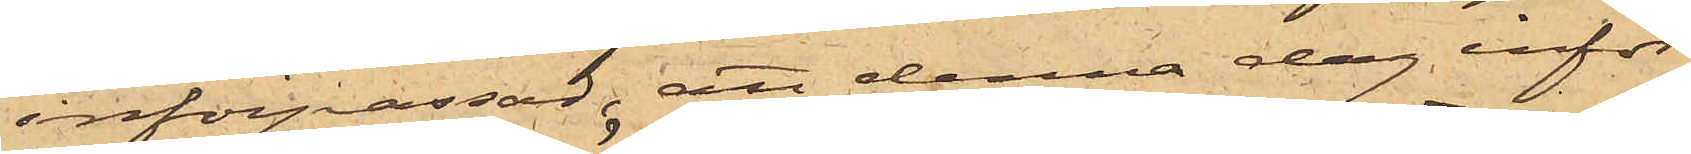införpassad, att denna dag inför
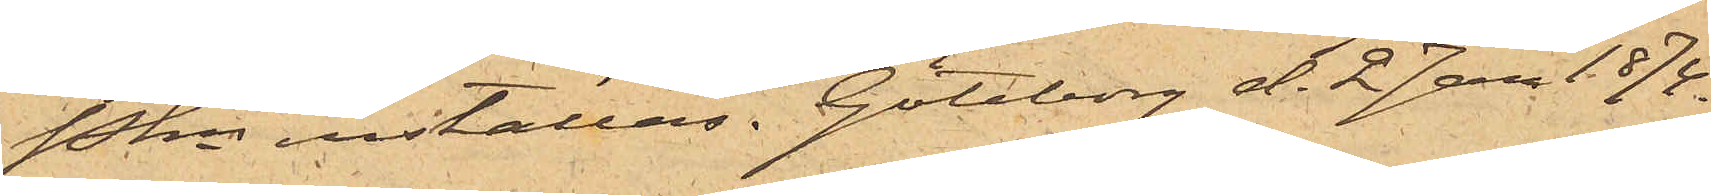Pkn inställas. Göteborg d. 2 Jan 1874.
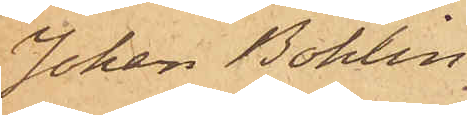Johan Bohlin.
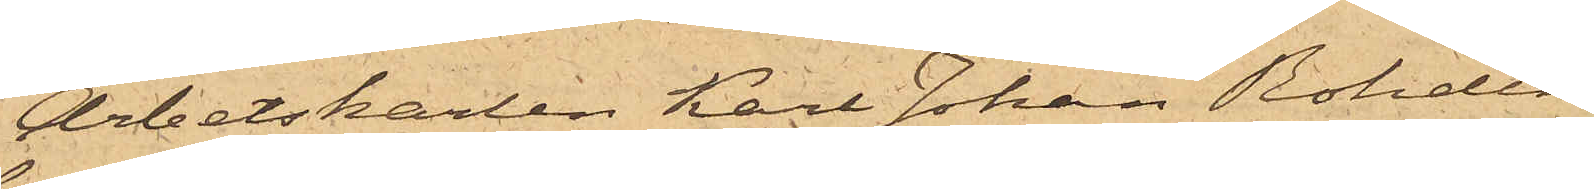Arbetskarlen Karl Johan Rohdin,
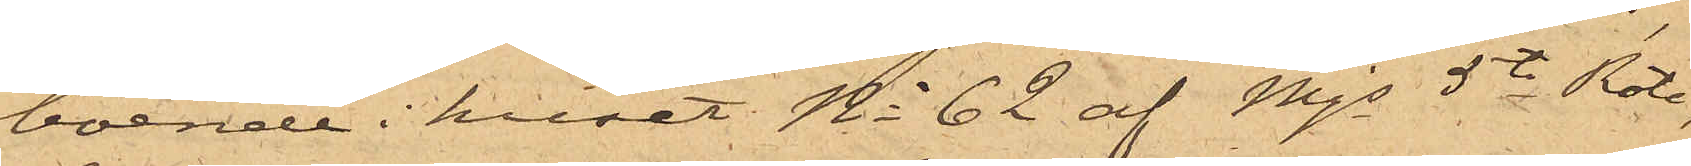boende i huset No 62 af Mjs 5te Rote,
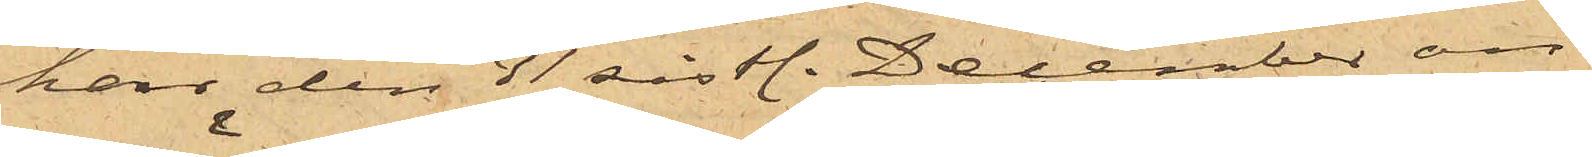har den 31 sistl. December an¬
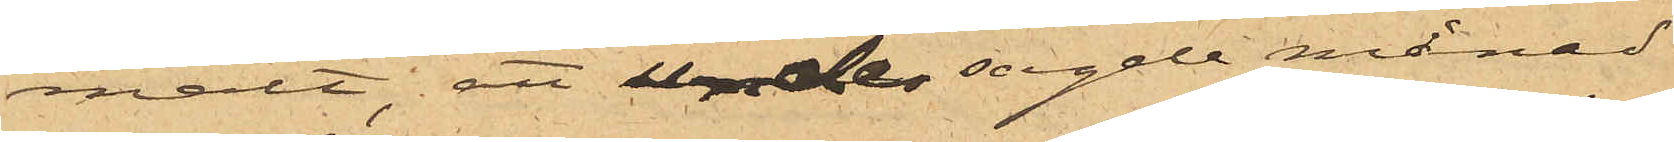mält, att under sagde månad
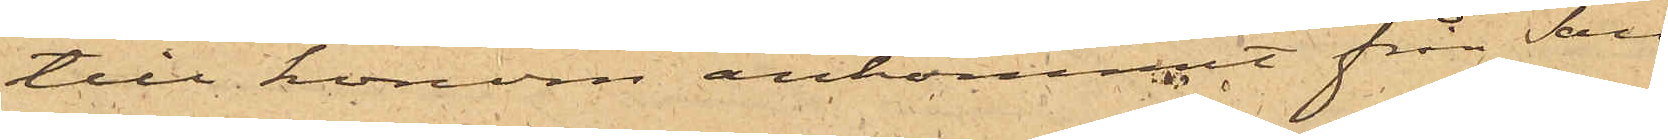till honom ankommit från San
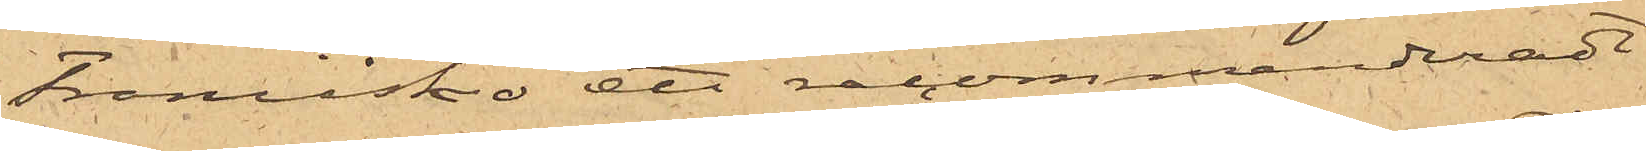Francisko ett recommenderadt
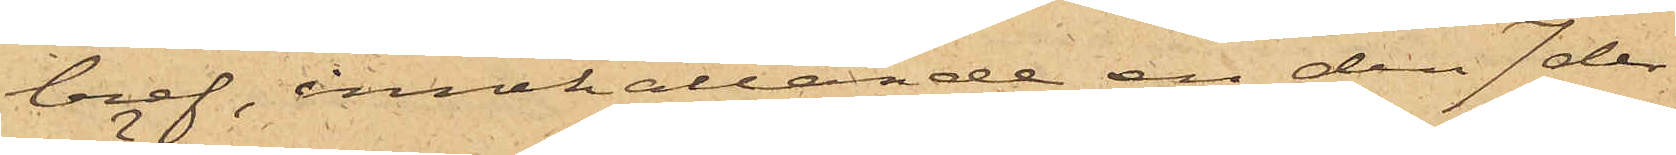bref, innehållande en den 7 der¬
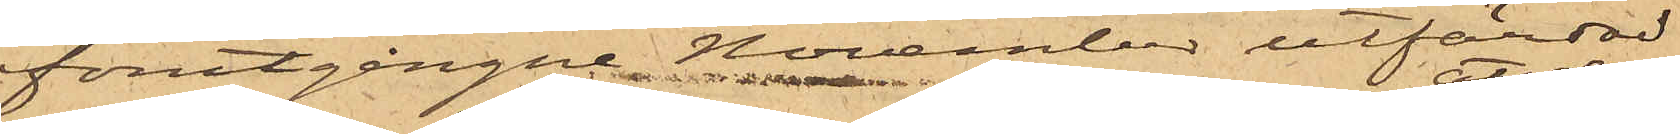förutgångne November utfärdad
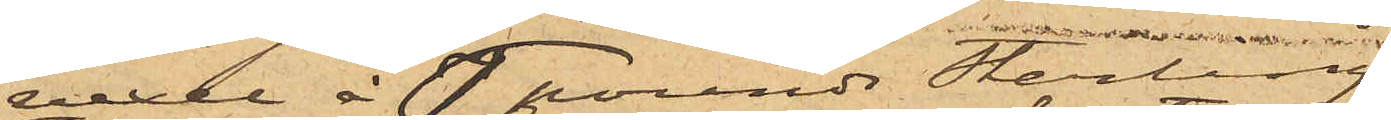vexel à 6 pounds sterling;
